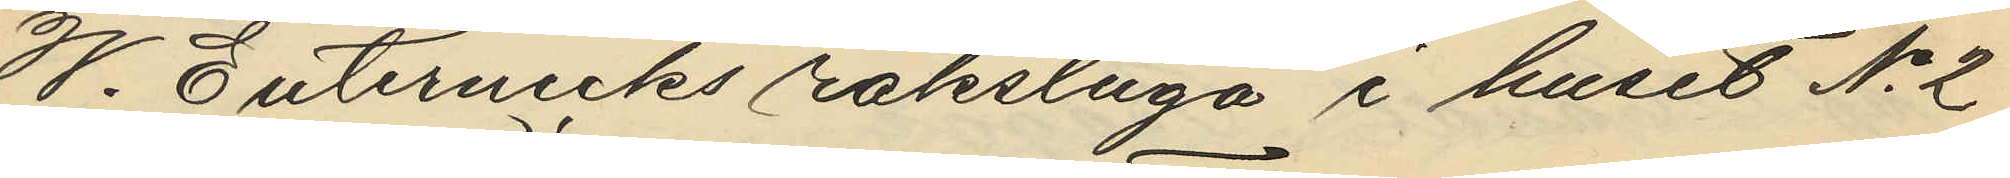W. Butericks rakstuga i huset No 2
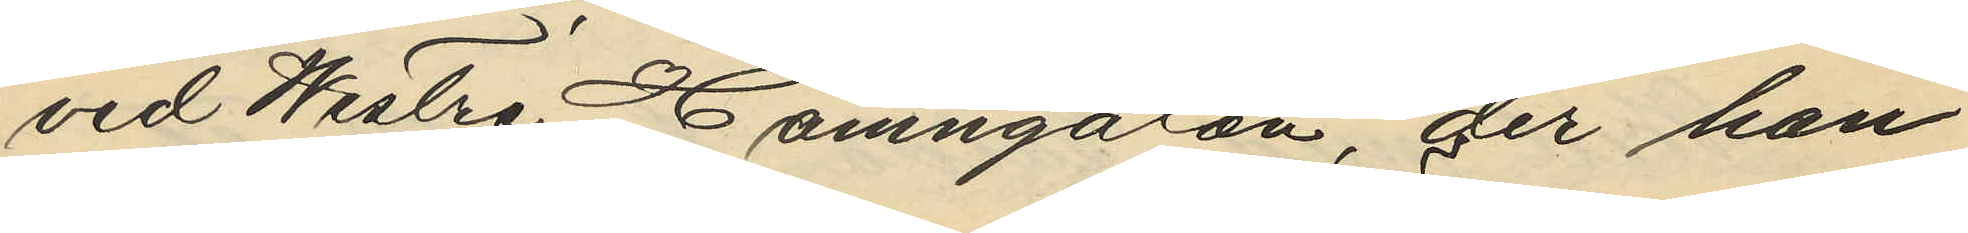vid Westra Hamngatan, der han
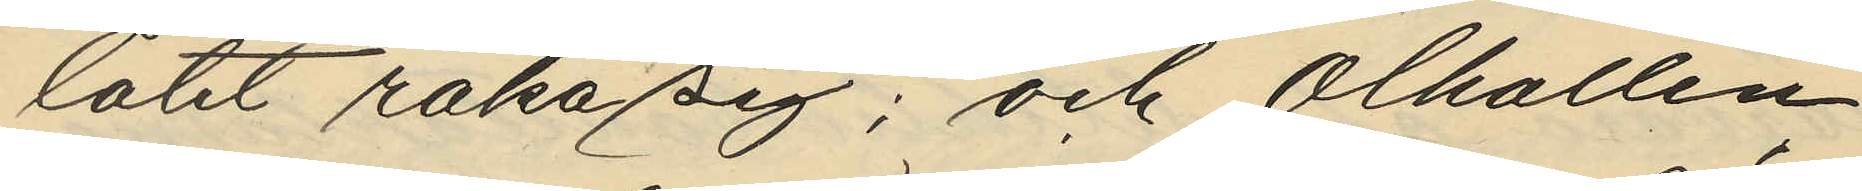låtit raka sig; och ölhallen
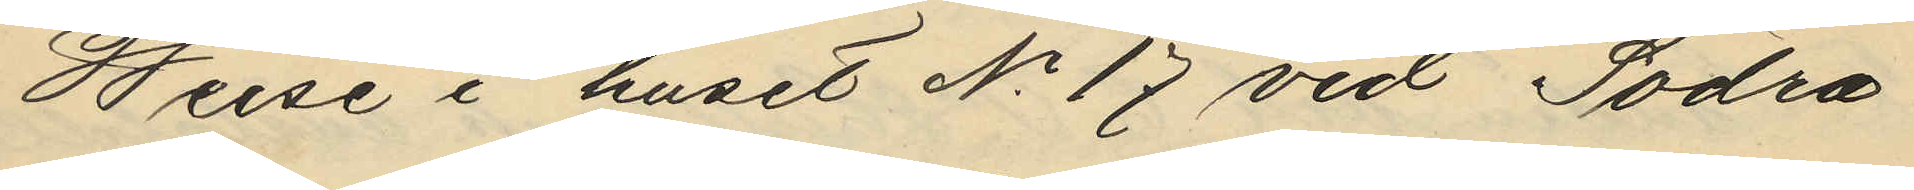Weise i huset No 17 vid Södra
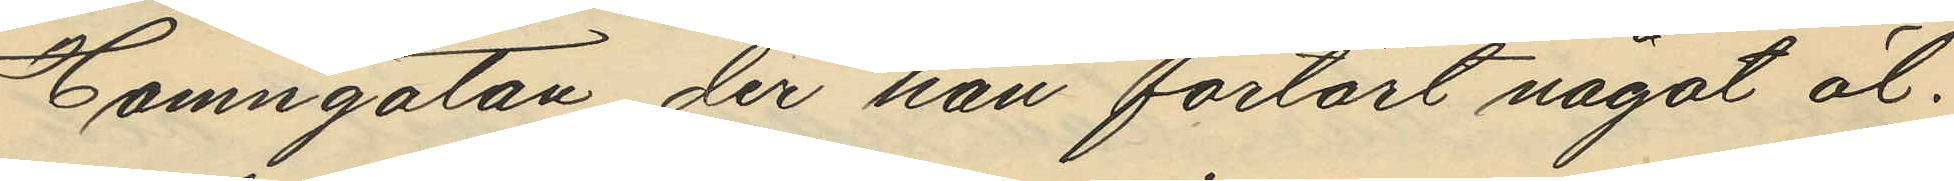Hamngatan, der han förtärt något öl.
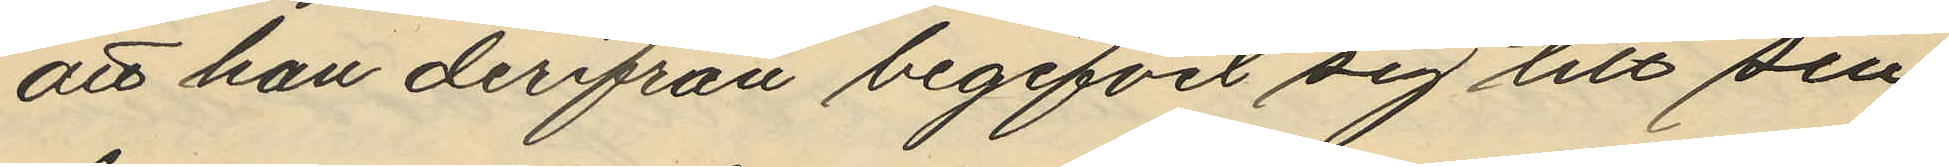att han derifrån begifvit sig till sin
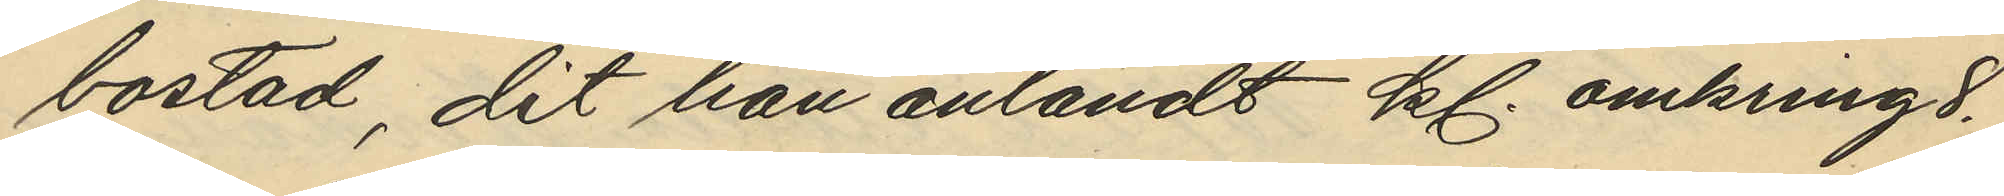bostad, dit han anländt kl. omkring 8.
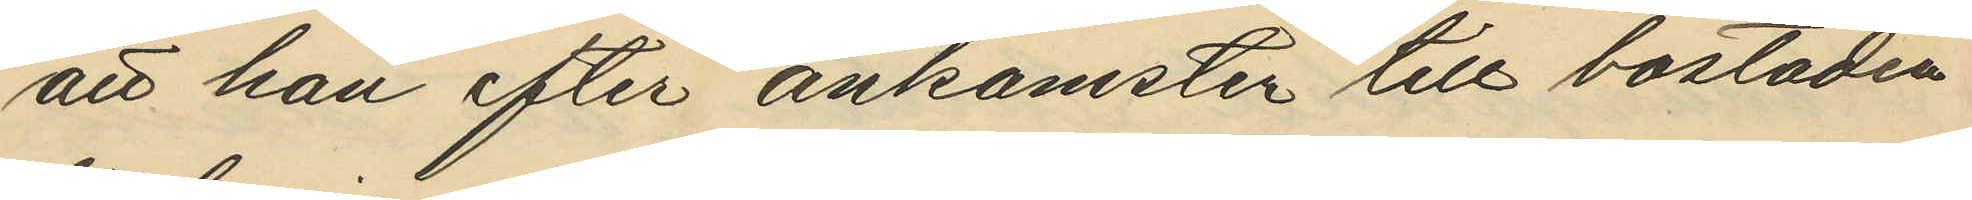att han efter ankomster till bostaden
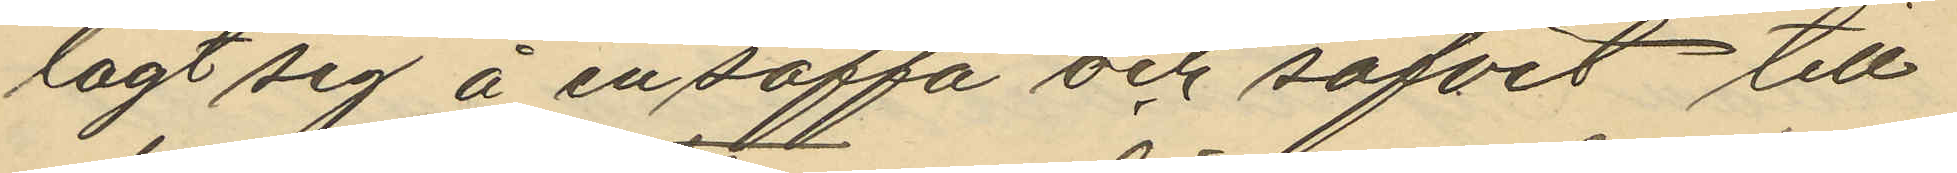lagt sig å en soffa och sofvit till
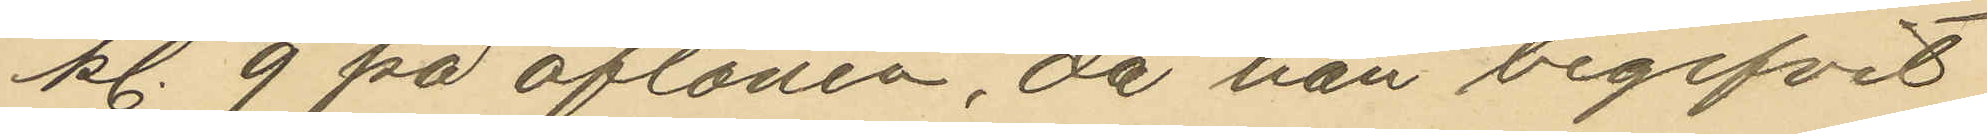kl. 9 på aftonen, då han begifvit
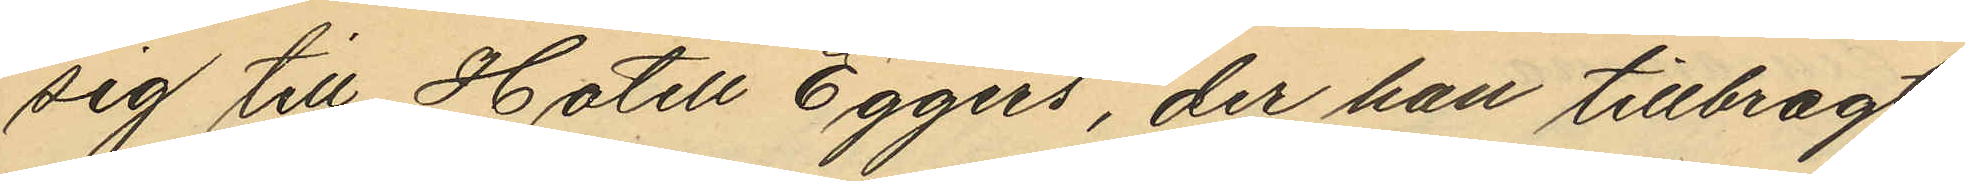sig till Hotell Eggers, der han tillbragt
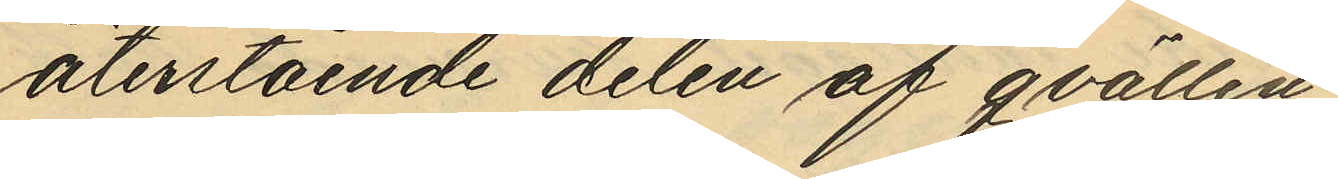återstående delen af qvällen,
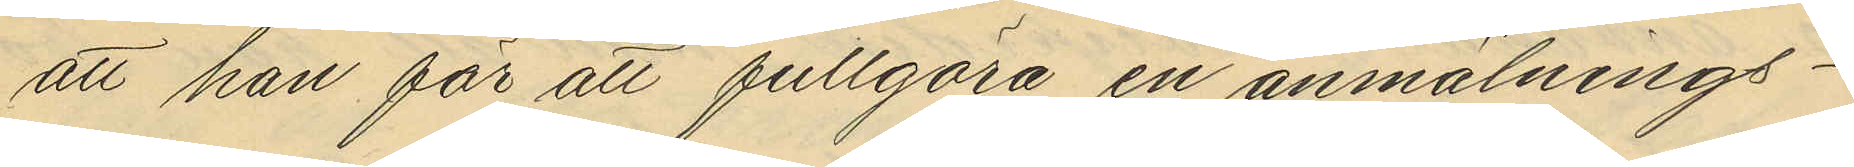att han för att fullgöra en anmälnings¬
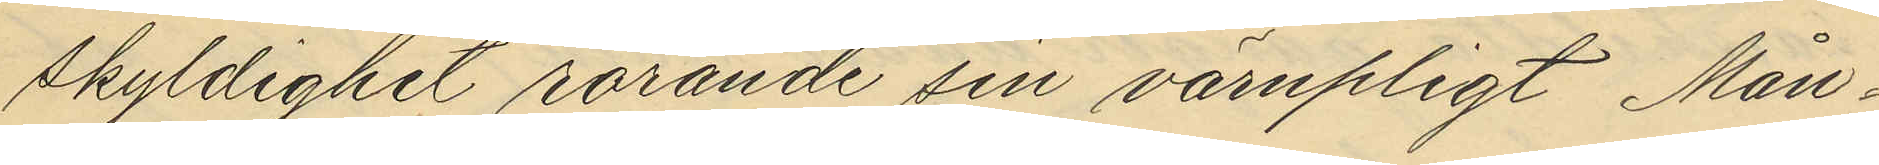skyldighet rörande sin värnpligt Mån¬
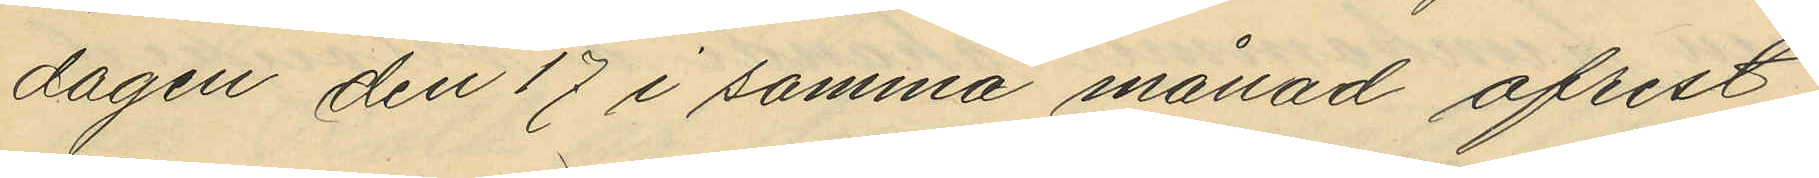dagen den 17 i samma månad afrest
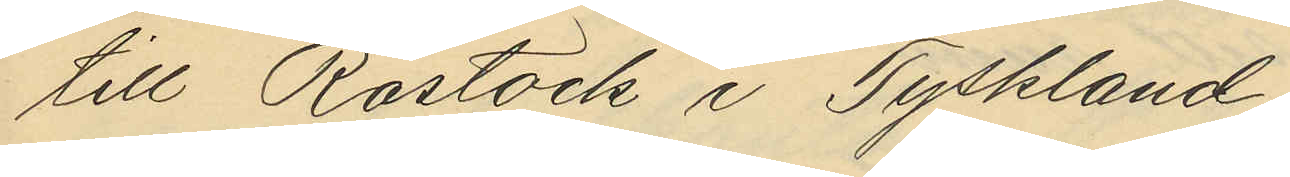till Rostock i Tyskland
